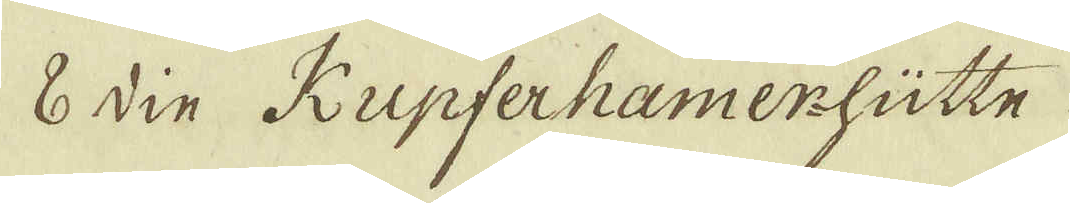8 din Kupferhamer-hütte
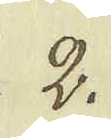2.
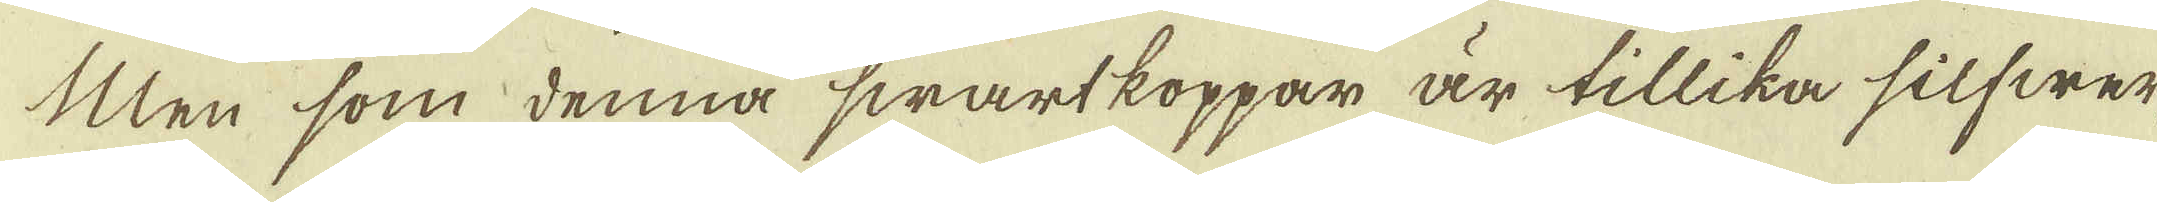Men som denna swartkoppar är tillika silfwer-
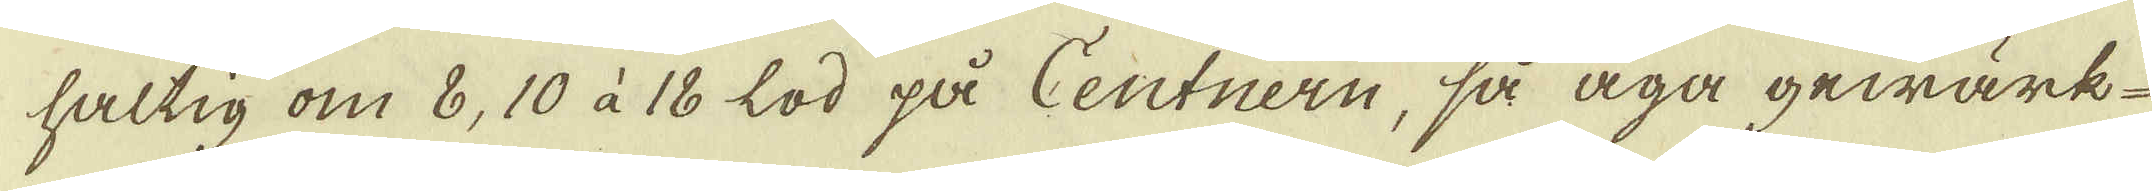haltig om 8, 10 à 18 lod på Centnern, så äga gewärk-
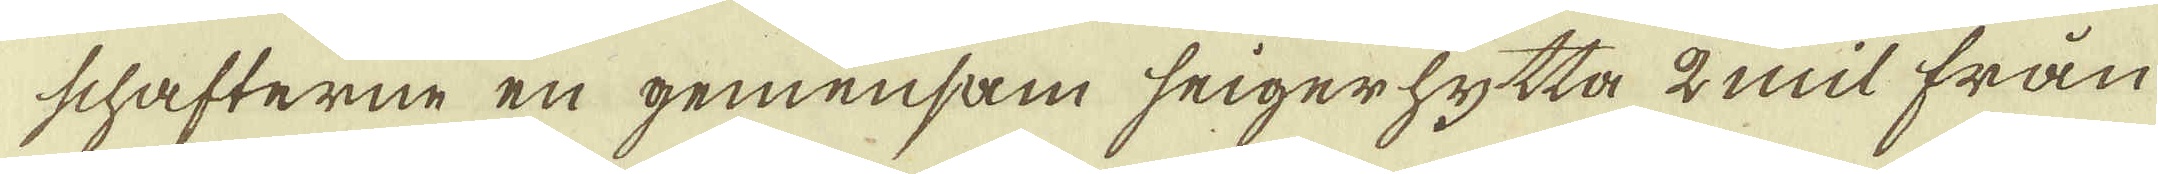schafterne en gemensam seigerhytta 2 mil från
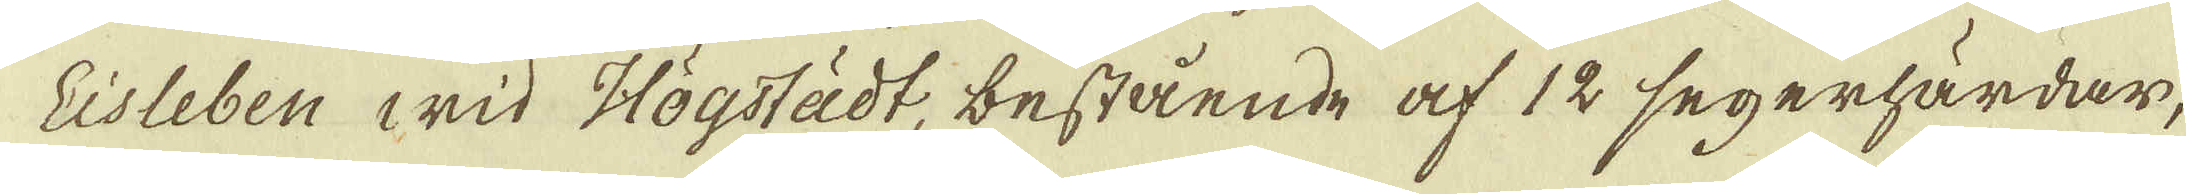Lisleben wid Högstädt, bestående af 12 segerhärdar,
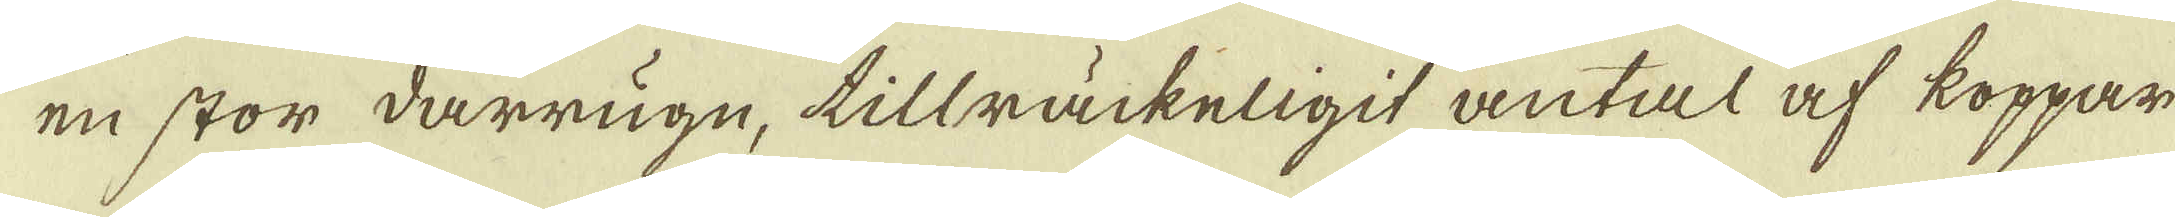en stor darrugn, tillräckeligit antal af koppar
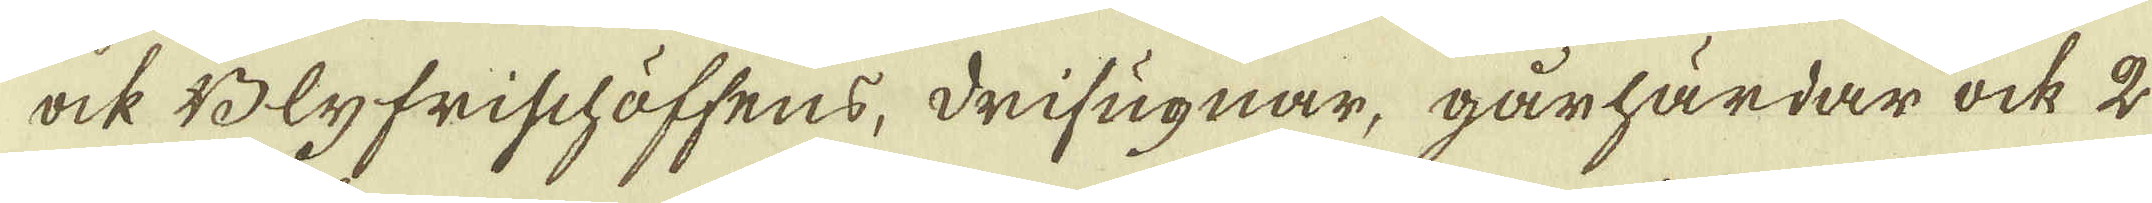ock Blyfrischäffens, drifugnar, gårhärdar ock 2
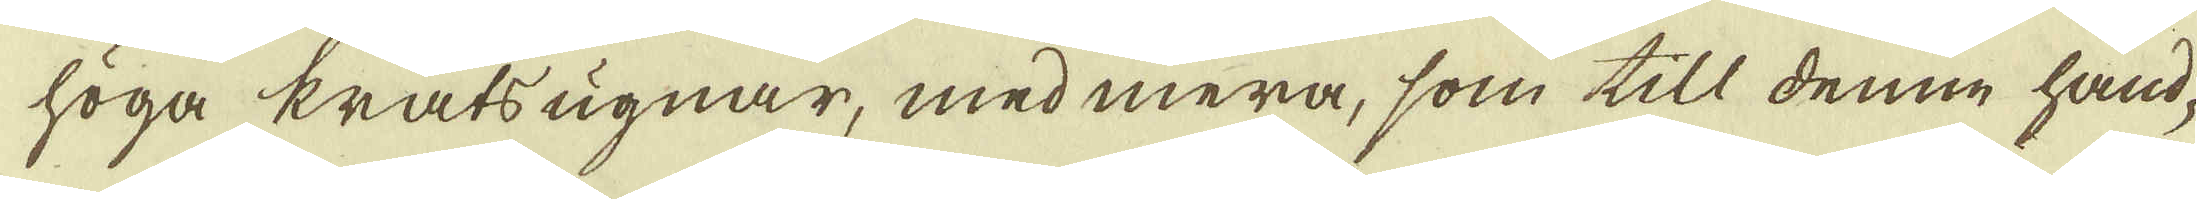höga kratsugnar, med mera, som till denne hand-
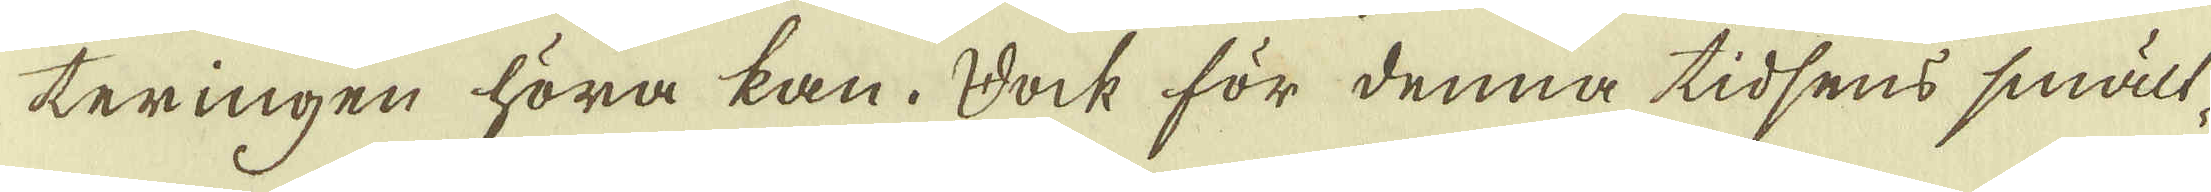teringen höra kan. Dock för denna tidsens smält-
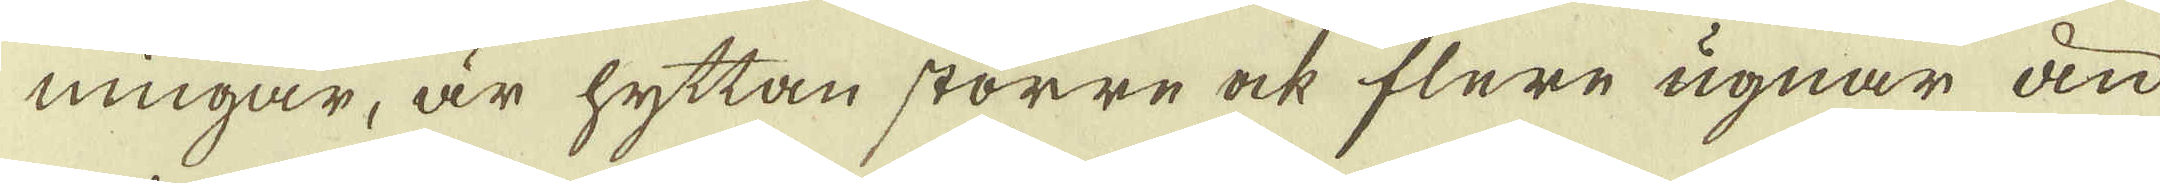ningar, är hyttan större ock flere ugnar än
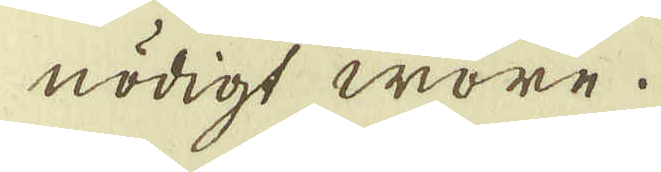nödigt wore.
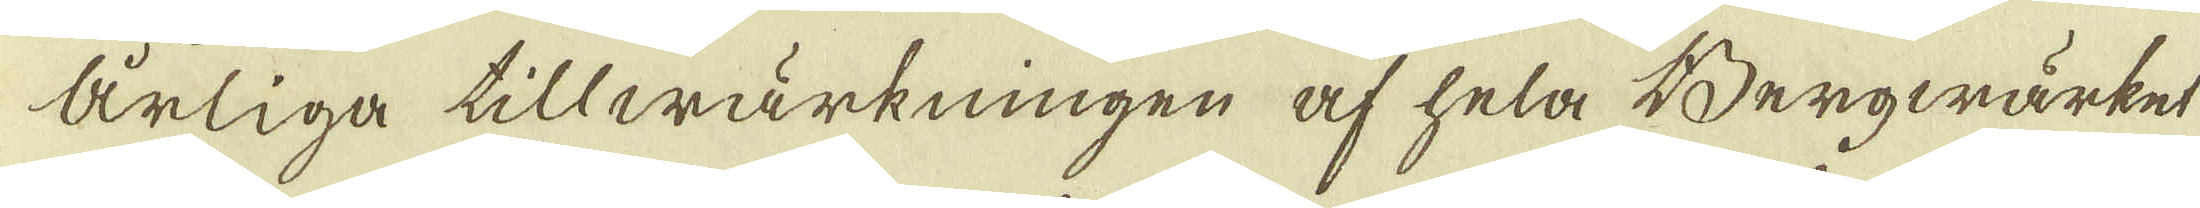Årliga tillwärkningen af hela Bergwärket
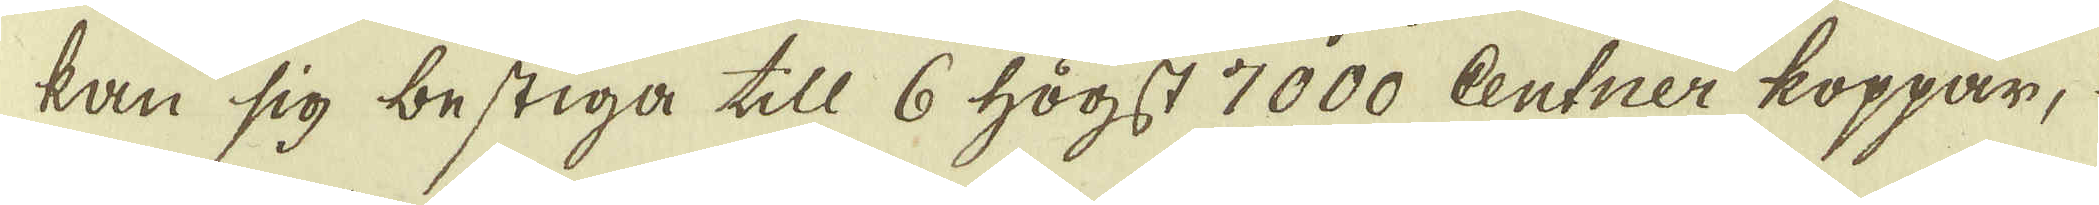kan sig bestiga till 6 högst 7000 Centner koppar,
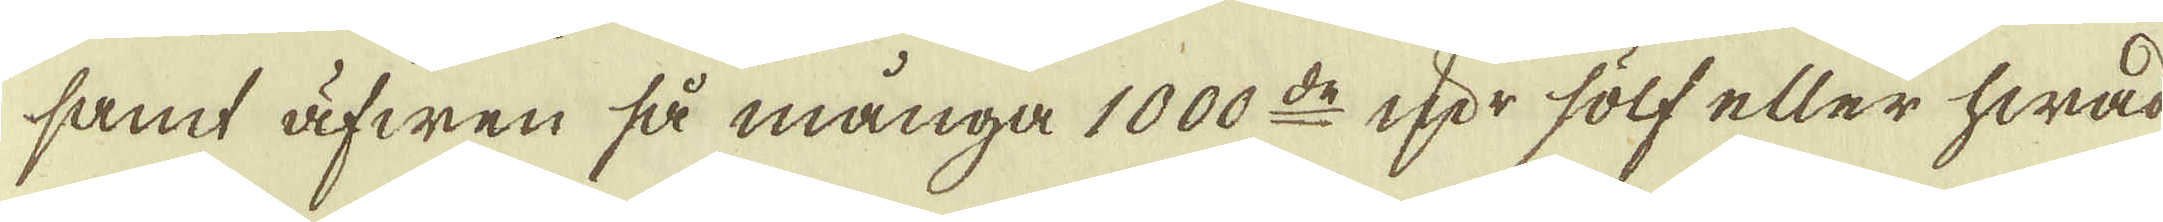samt äfwen så många 1000:de qvr sölf eller hwad
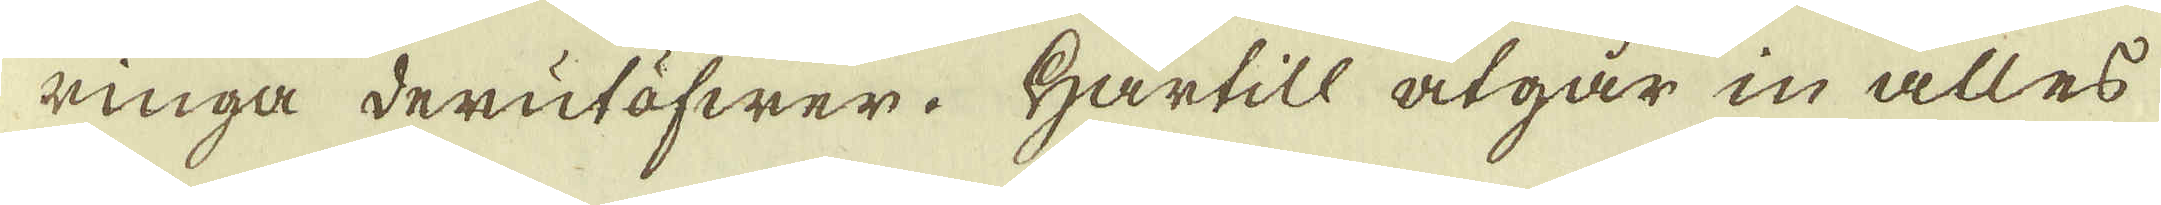ringa derutöfwer. Härtill åtgår in alles
